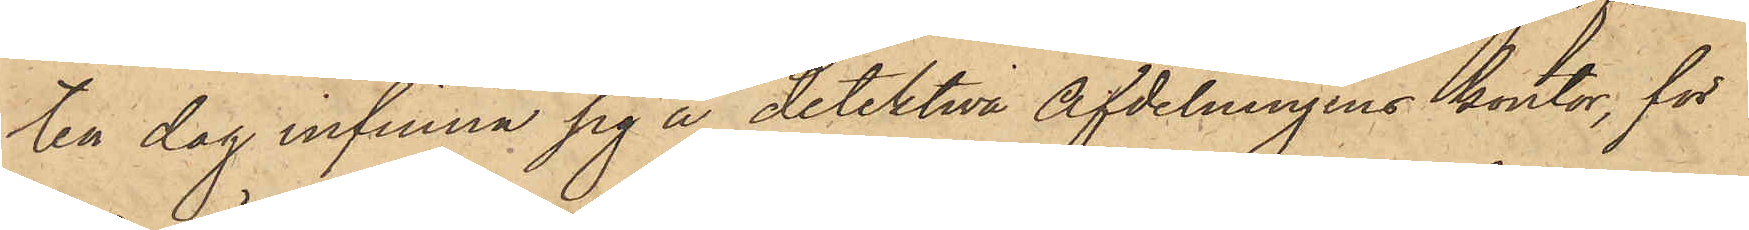ten dag infinna sig å detektiva afdelningens kontor, för
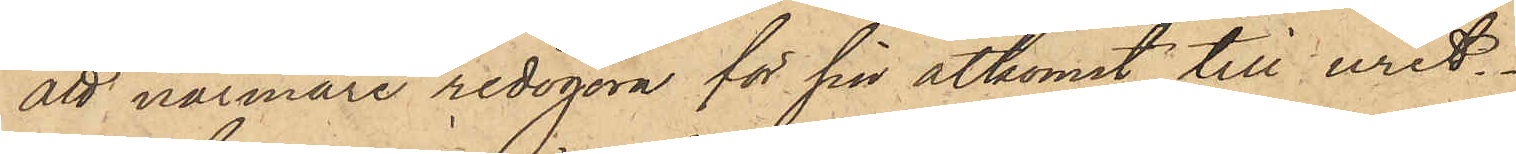att närmare redogöra för sin åtkomst till uret.
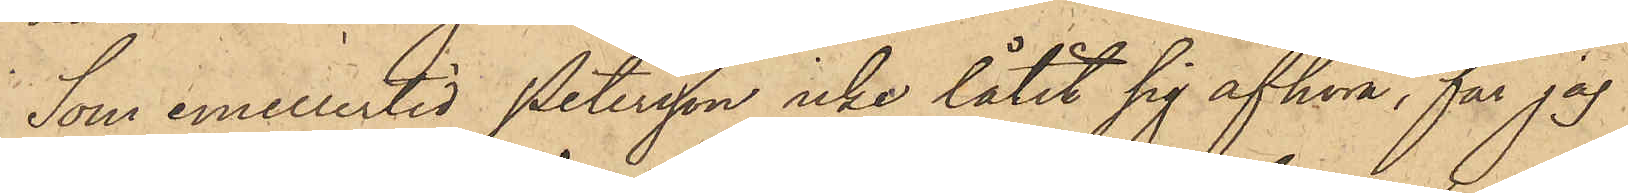Som emellertid Petersson icke låtit sig afhöra, får jag
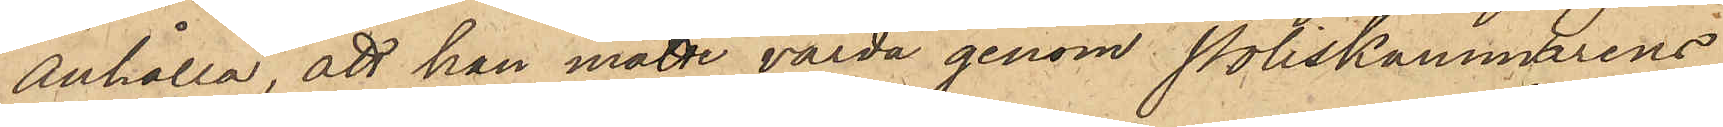anhålla, att han måtte varda genom Poliskammarens
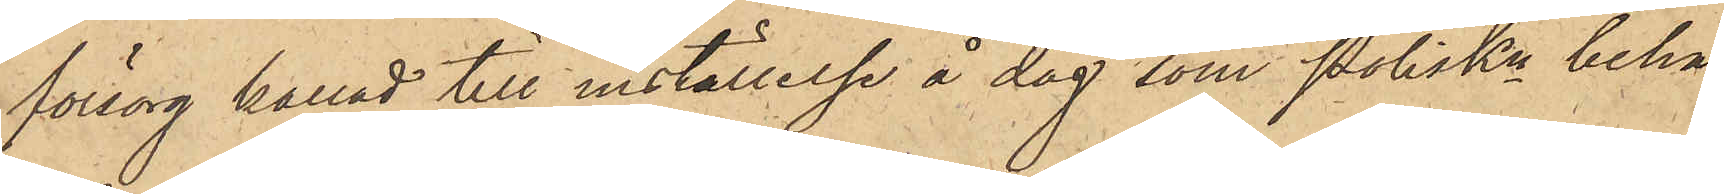försorg kallad till inställelse å dag, som Poliskn beha¬
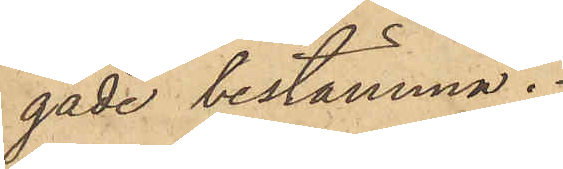gade bestämma.
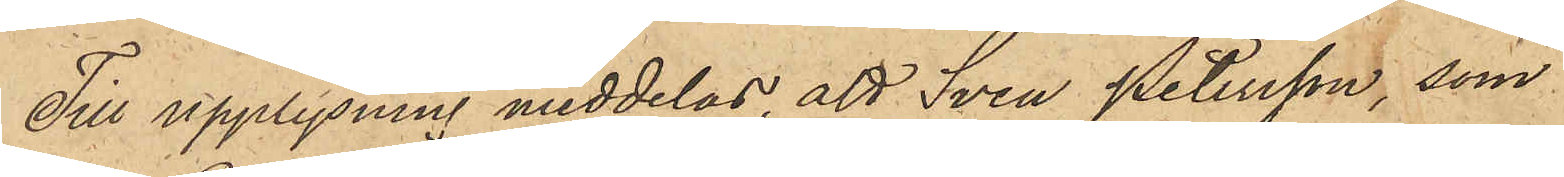Till upplysning meddelas, att Sven Petersson, som
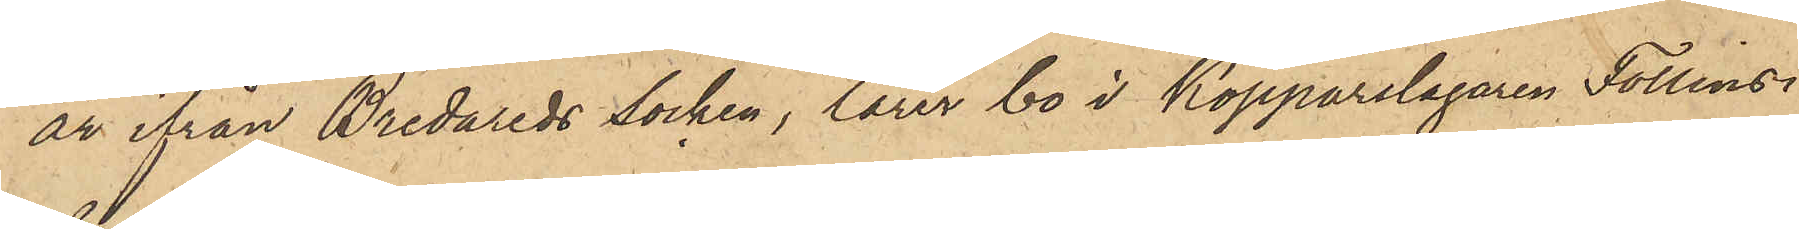är ifrån Bredareds socken, lärer bo i Kopparslagaren Follins
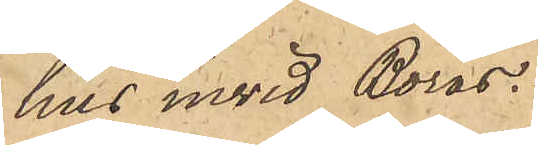hus invid Borås.
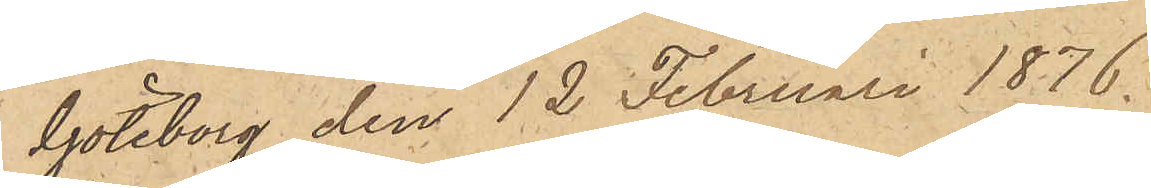Göteborg den 12 Februari 1876.
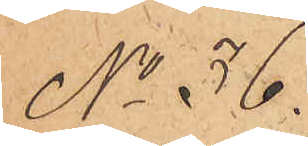No 36.
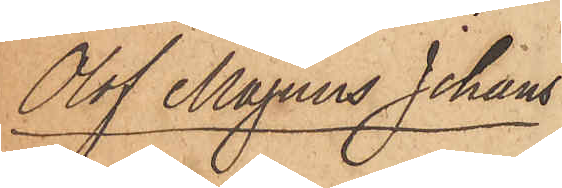Olof Magnus Johans¬
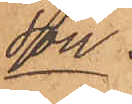son.
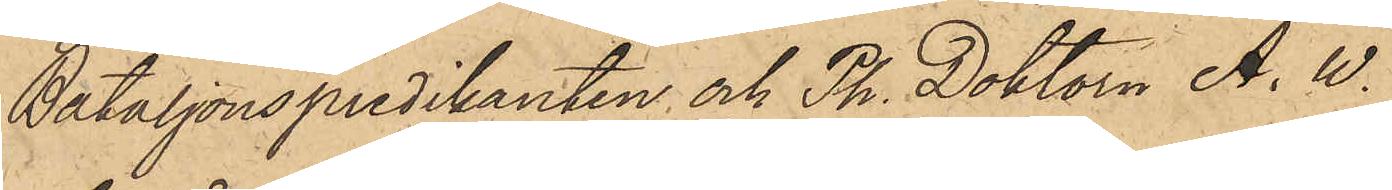Bataljonspredikanten och Ph. Doktorn A. W.
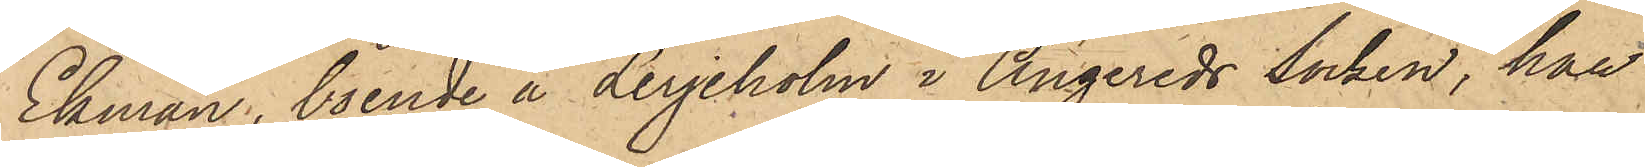Ekman, boende å Lerjeholm i Angereds Socken, har
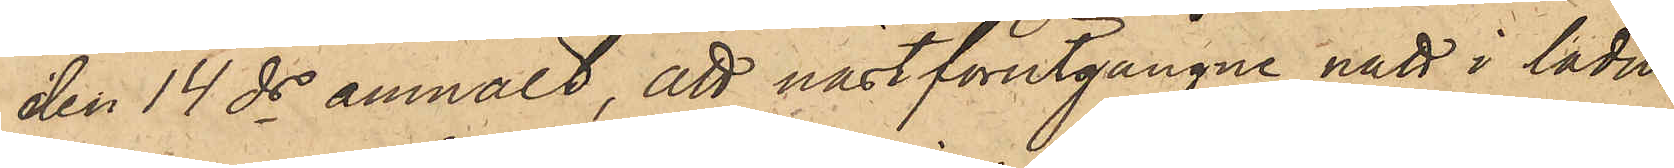den 14 ds anmält, att nästförutgångne natt i ladu¬
